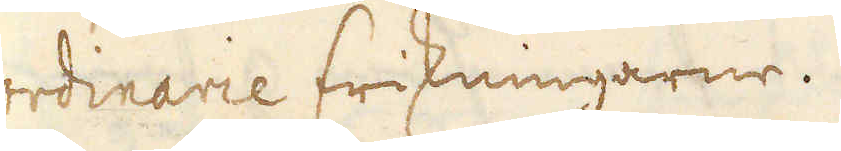ordinarie friskningarne.
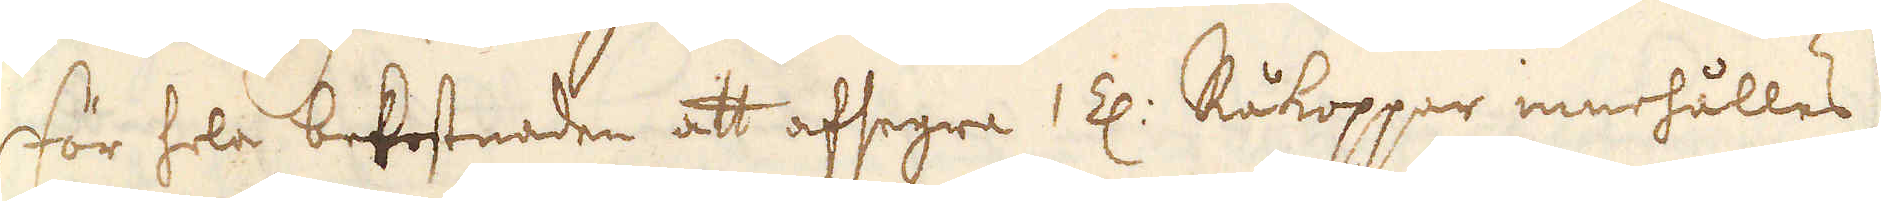För hela befostnaden att afsegra 1 Z: Råkoppar innehålles
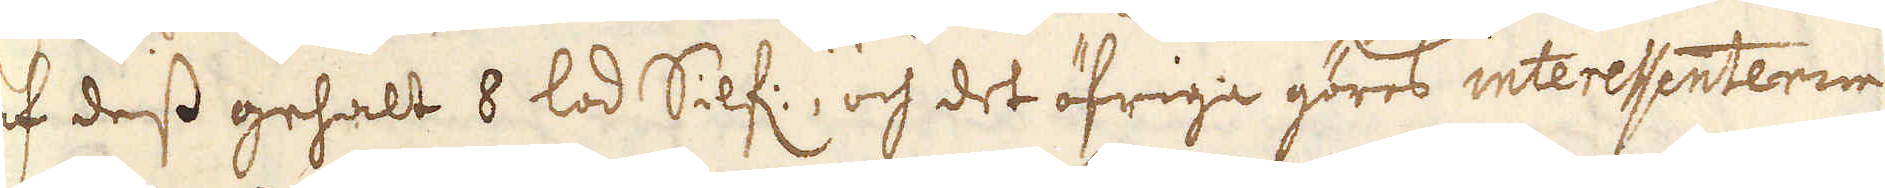af dess gehalt 8 lod Silf:, och det öfriga göres interessenterne
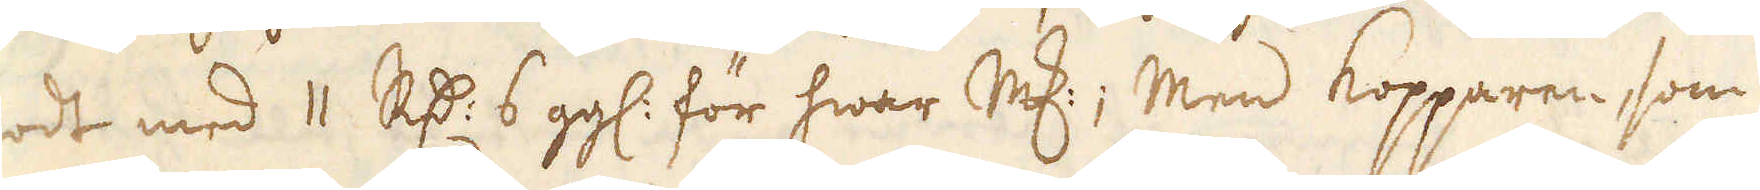godt med 11 R:dr 6 ggl: för hwar marker; Men kopparen, som
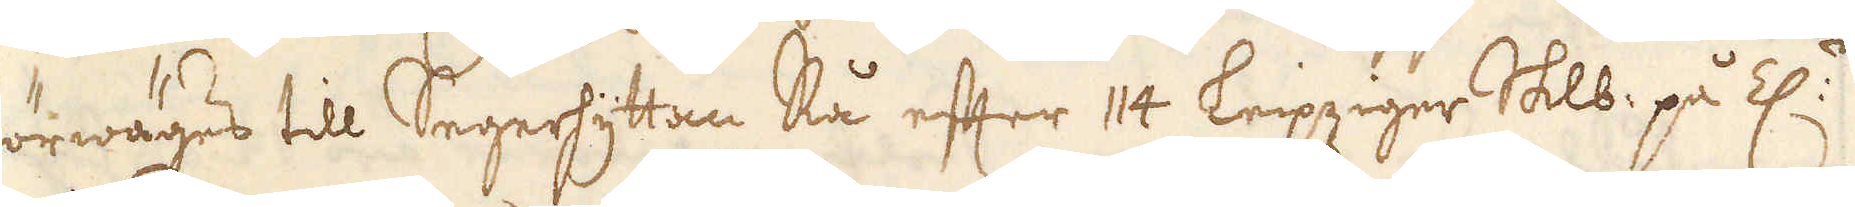förwäges till Segerhyttan Rå efter 114 Leipziger Skålpund på Z:n
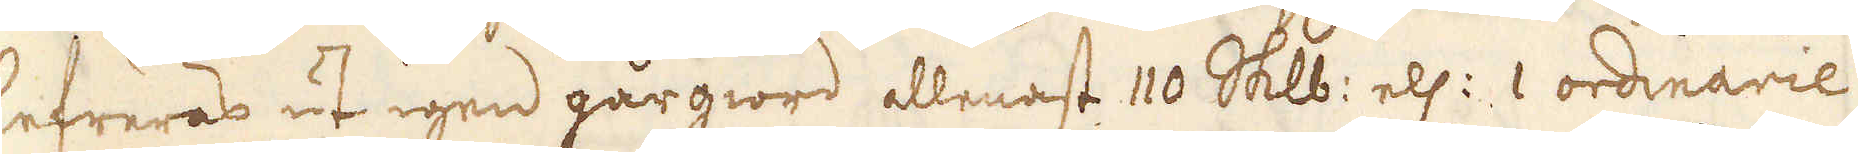lefreras ut igen gårgiord allenast 110 Skålpund ell: 1 ordinarie
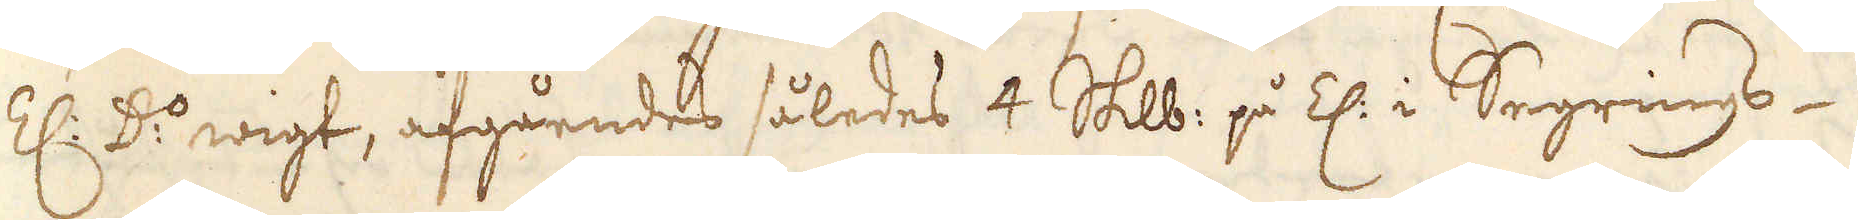Z: D:o wigt, afgåendes således 4 Skålpund på Z. i Segrings-
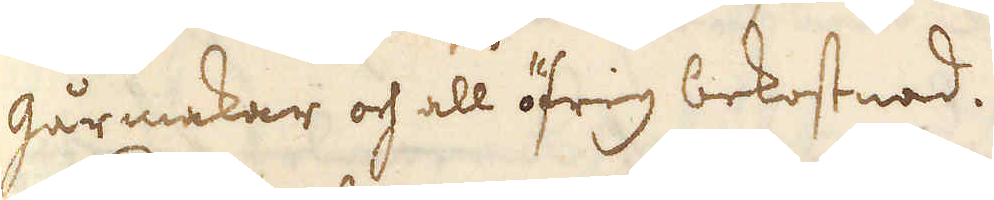gårmakar och all öfrig bekostnad.
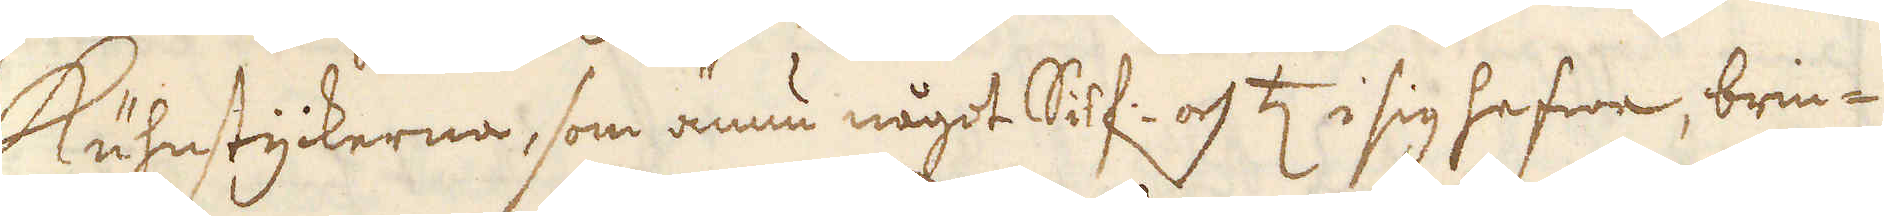Kuhnstyckerna, som ännu något Silf: och ♄ i sig hafwa, brin-
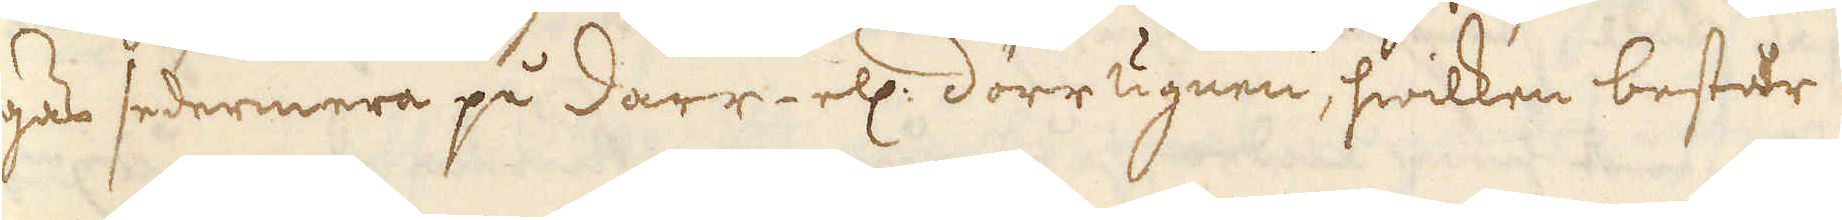gas sedermera på darr- ell: dörr ugnen, hwilken består
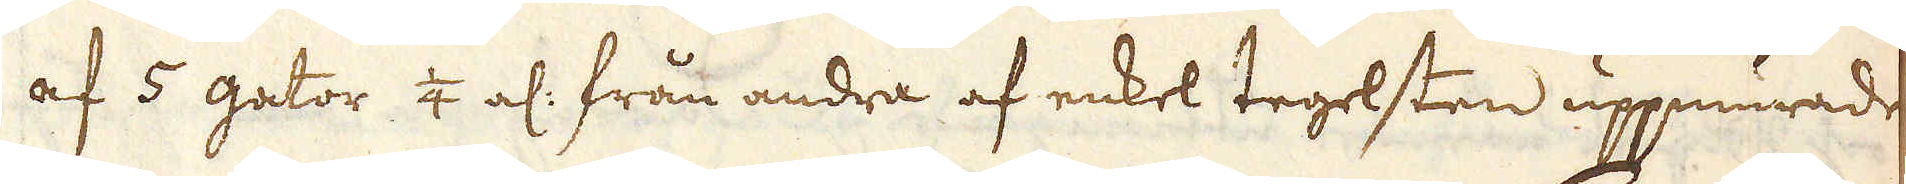af 5 gator 1/4 al: från andra af enkel tegelsten uppmurade
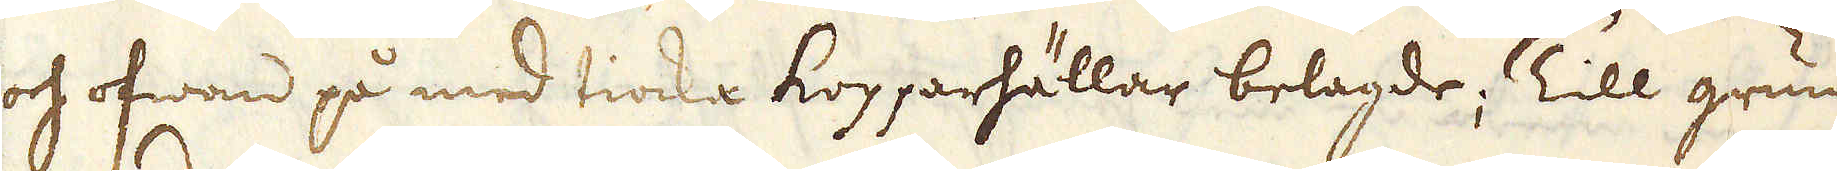och ofwan på med tiocka kopparhällar belagde; Till grunden
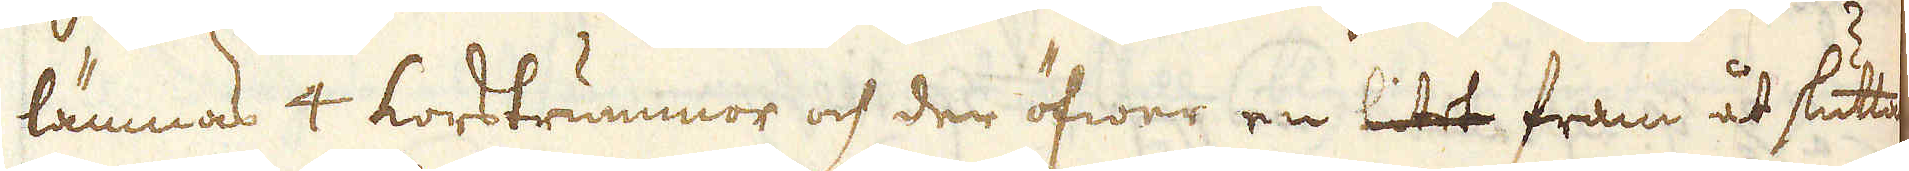lämnas 4 korstrummor och der öfwer en litet fram åt sluttan-
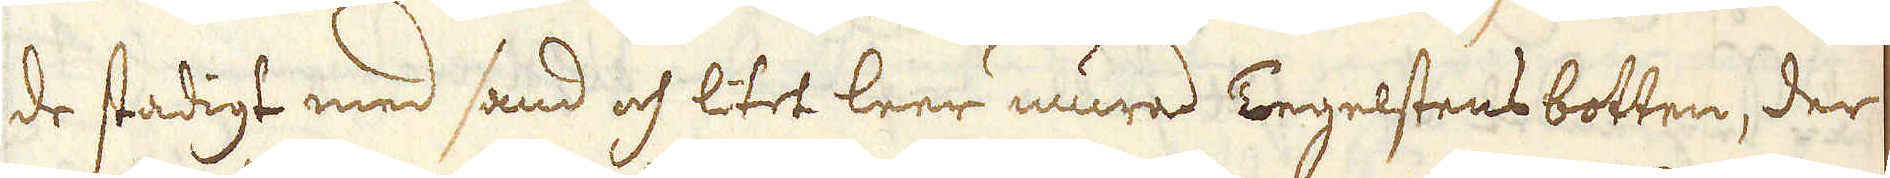de stadigt med sand och litet leer mura Tegelstens botten, der
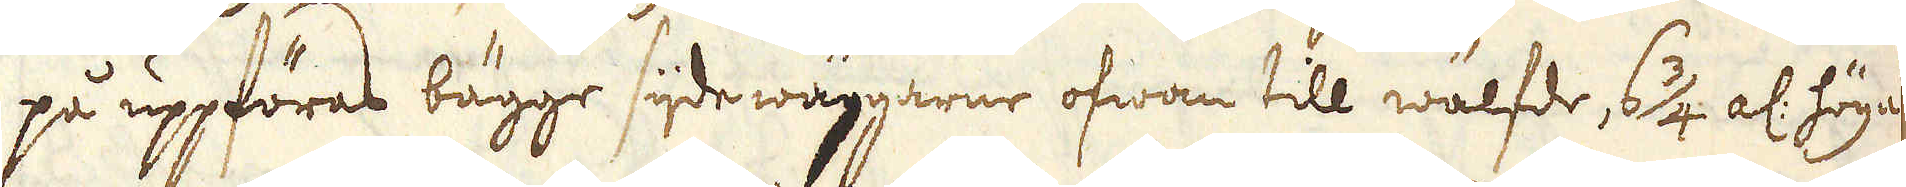på uppföras bägge sijde wäggarne ofwan till wälfde, 6 3/4 al: höga
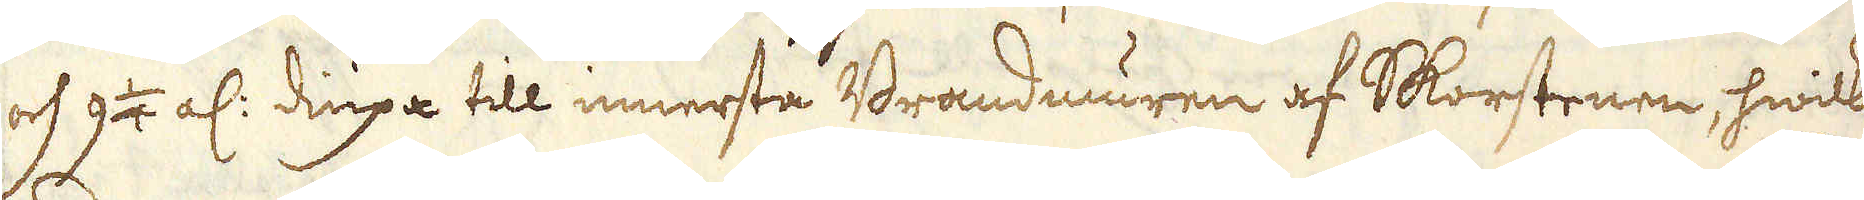och 9 1/4 al: diupa till innersta Brandmuren af Skorstenen, hwilken
